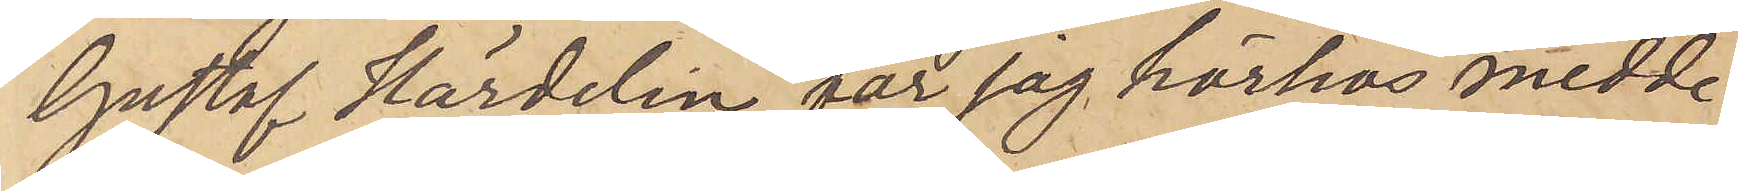Gustaf Härdelin får jag härhos medde¬
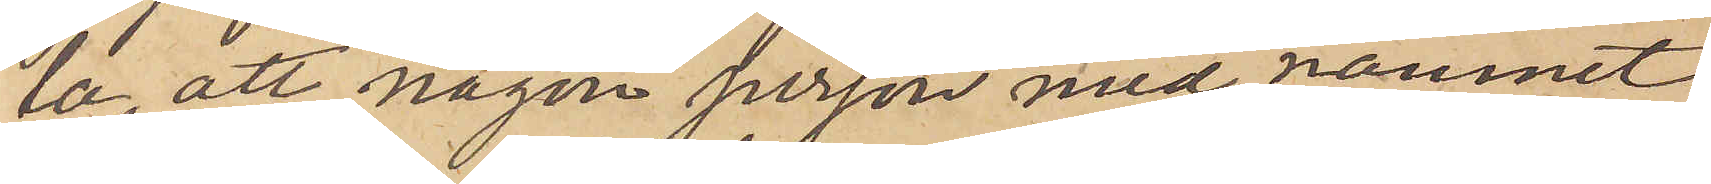la att någon person med namnet
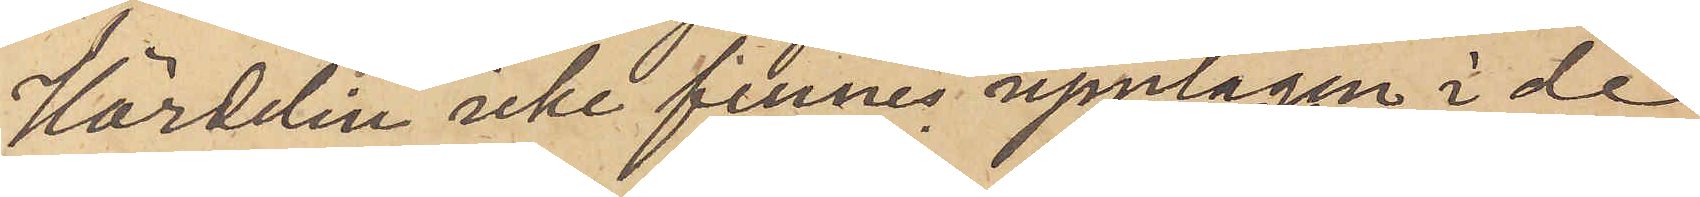Härdelin icke finnes upptagen i de
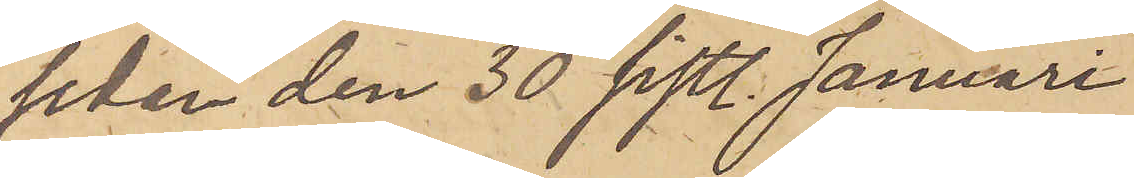sedan den 30 sistl. Januari
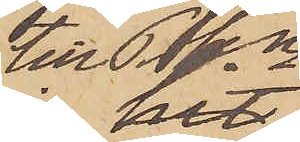till Pkn
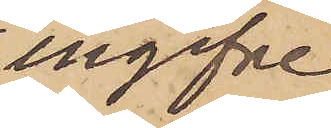ingifne
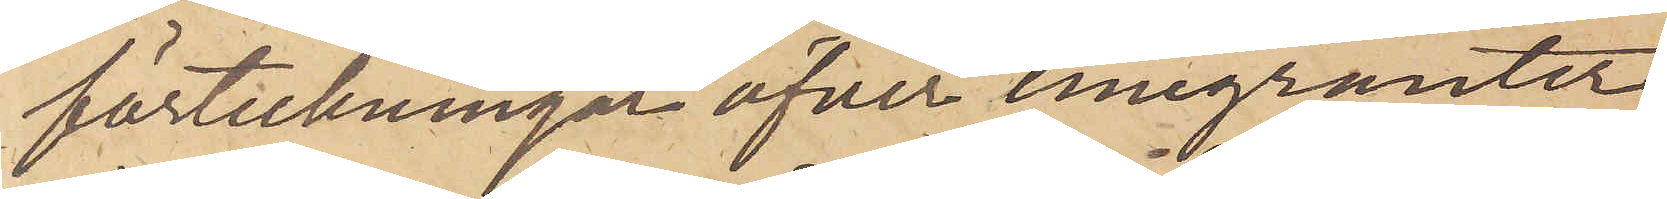förteckningar öfver emigranter,
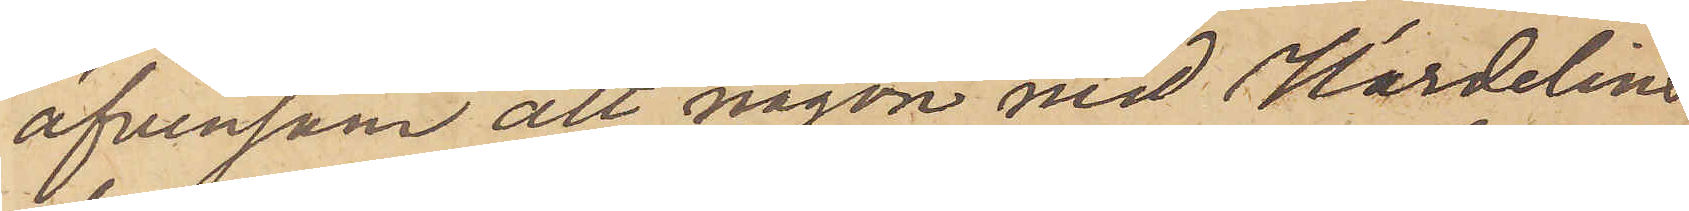äfvensom att någon med Härdelins
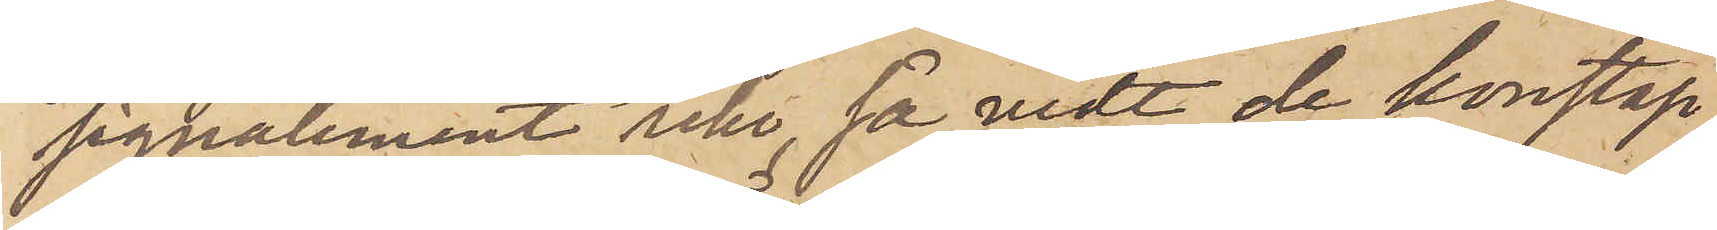signalement icke, så vidt de konstap¬
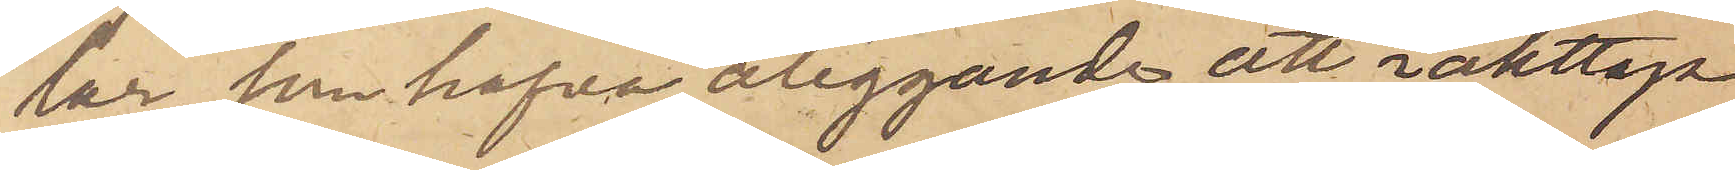lar, som hafva åliggande att iakttaga
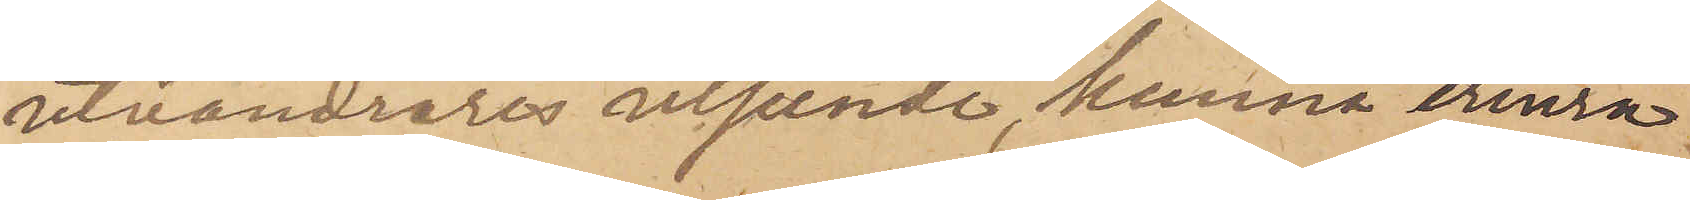utvandrares utseende, kunna erinra
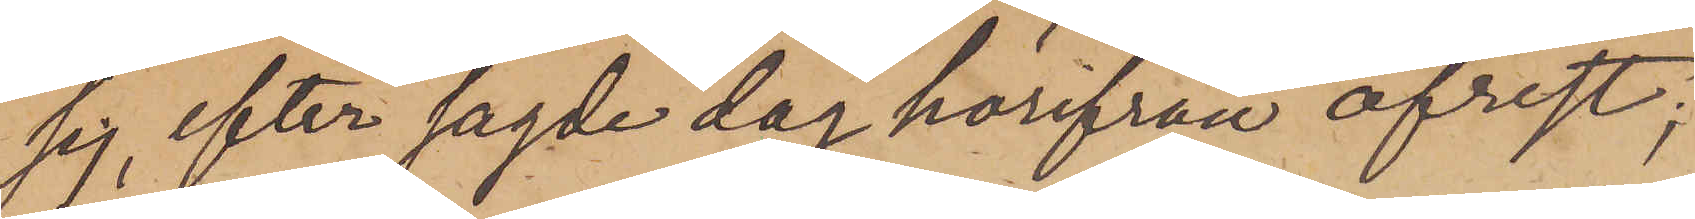sig, efter sagde dag härifrån afrest;
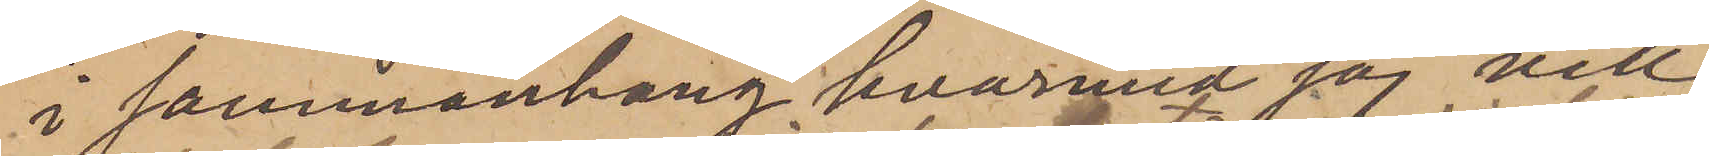i sammanhang hvarmed jag vill
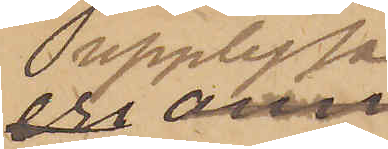upplysa, 
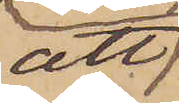att
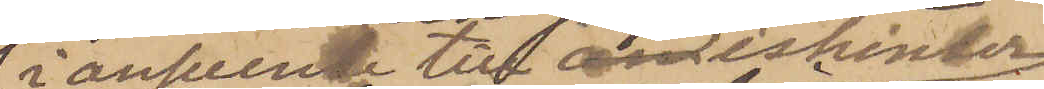i anseende till ishinder
